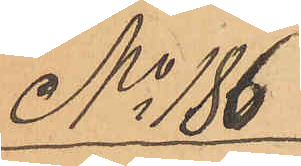No 186
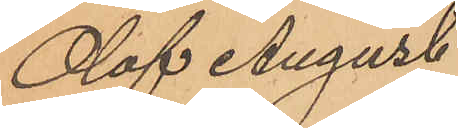Olof August
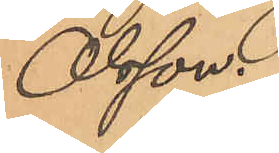Olsson.
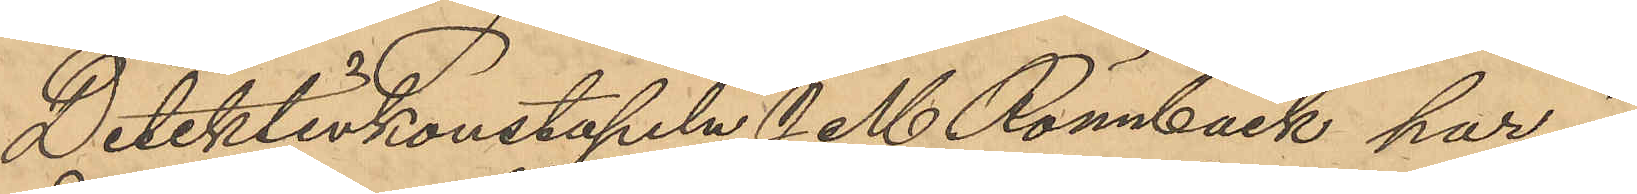Detektivkonstapeln J. M. Rönnbäck har i
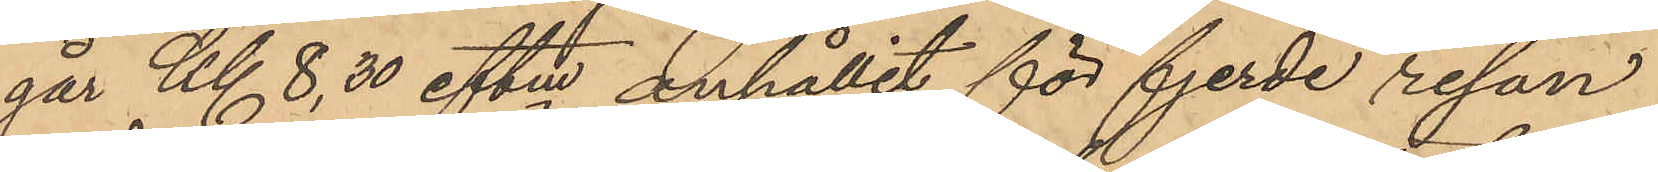går Kl 8,30 eftm anhållit för fjerde resan
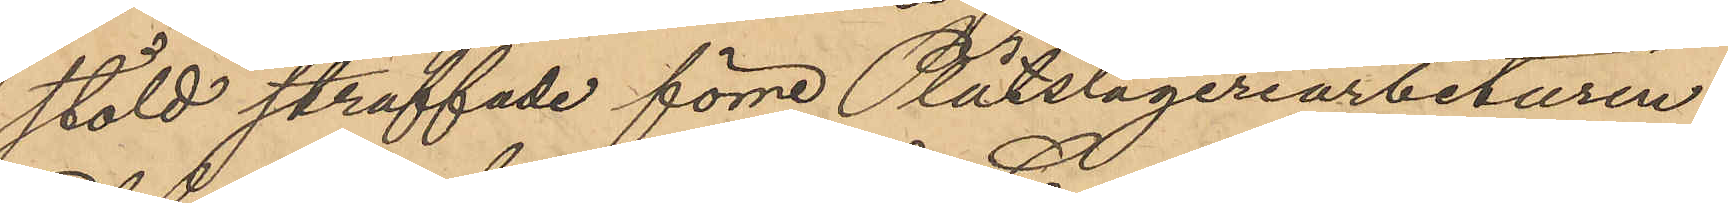stöld straffade förre Plåtslageriarbetaren
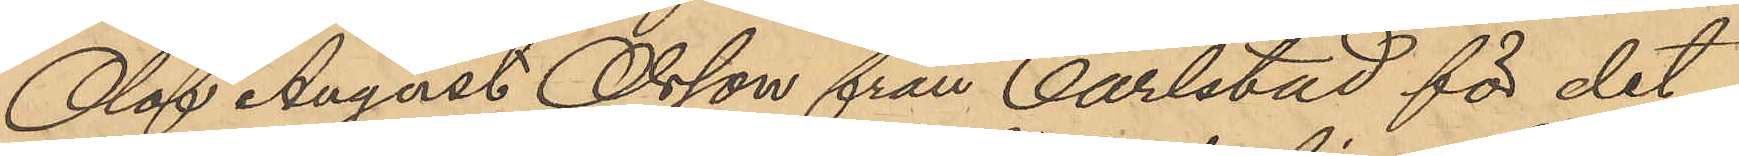Olof August Olsson från Carlstad för det
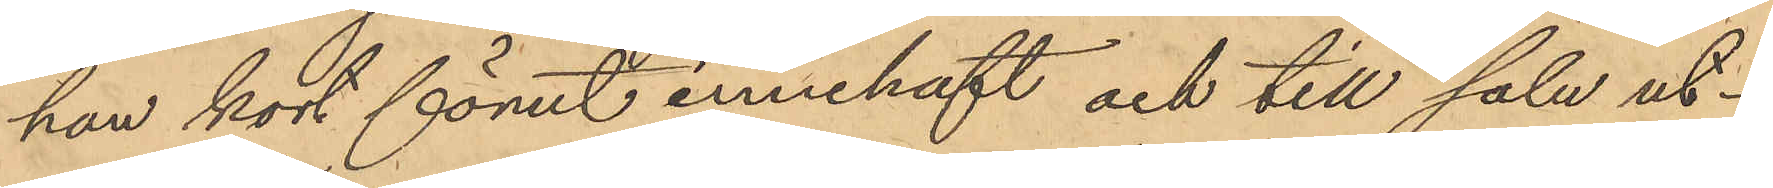han kort förut innehaft och till salu ut¬
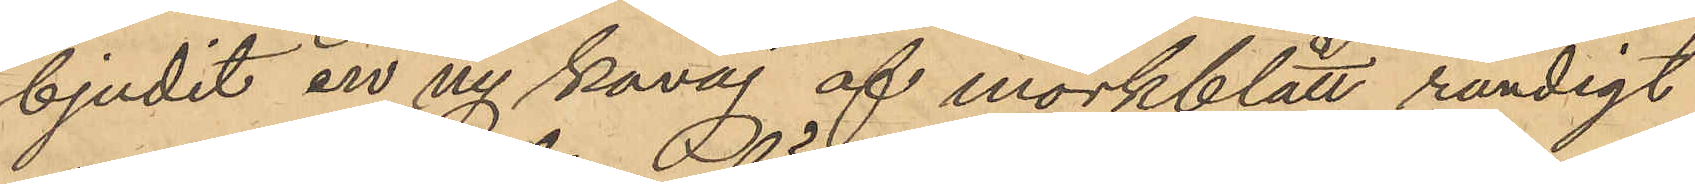bjudit en ny kavaj af mörkblått randigt
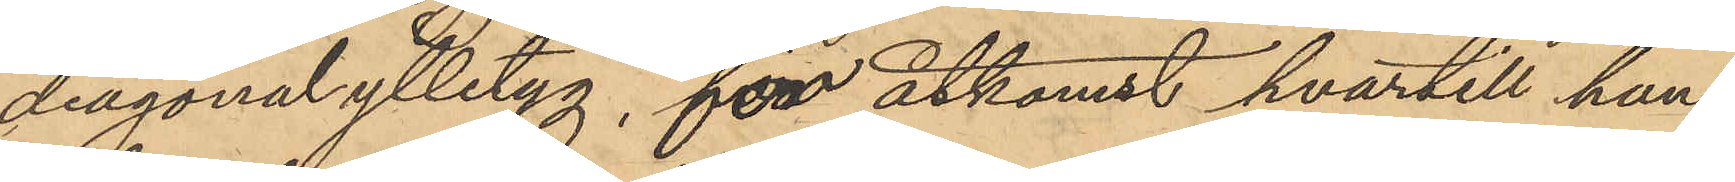diagonalylletyg, för åtkomst hvartill han
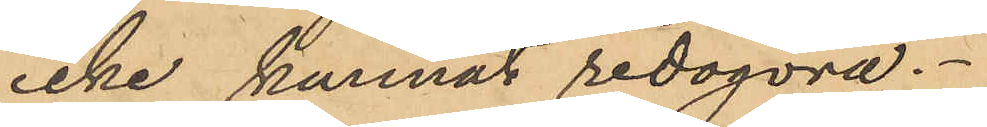icke kunnat redogöra.
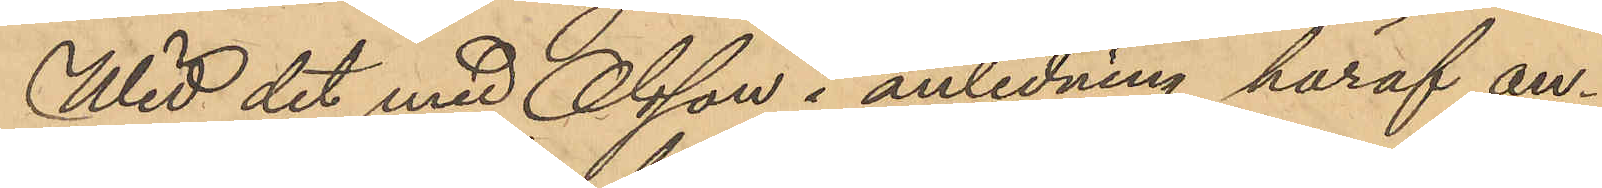Wid det med Olsson i anledning häraf an¬
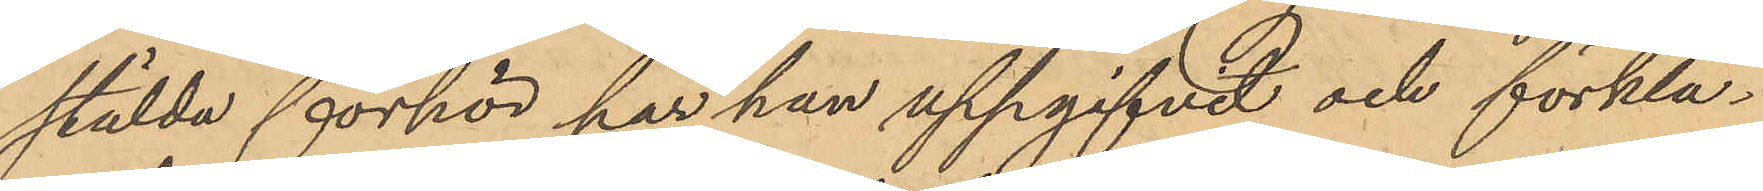stälda förhör har han uppgifvit och förkla¬
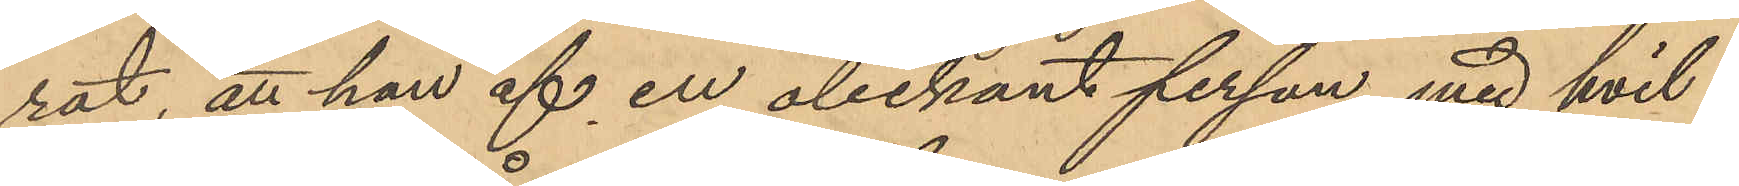rat att han af en obekant person med hvil¬
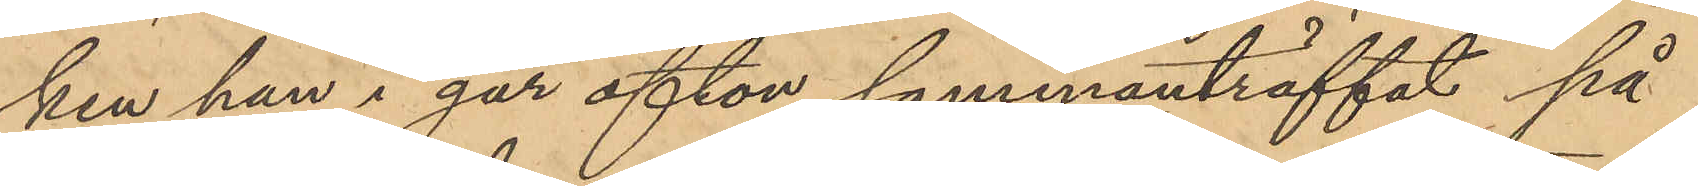ken han i går afton sammanträffat på
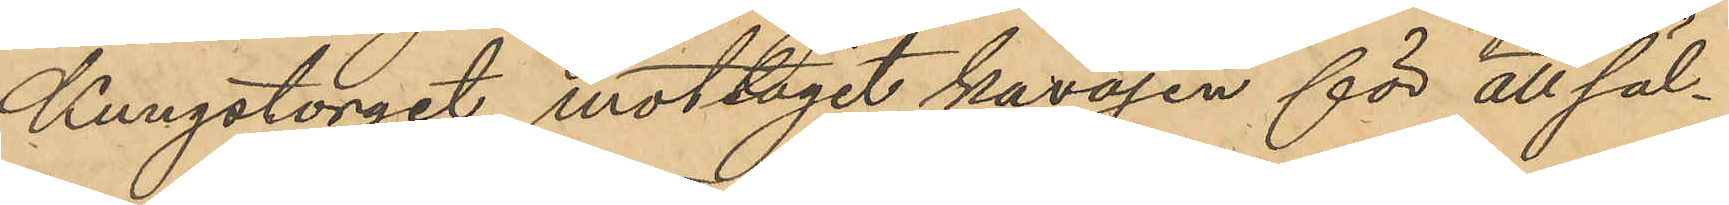Kungstorget mottagit kavajen för att säl¬
